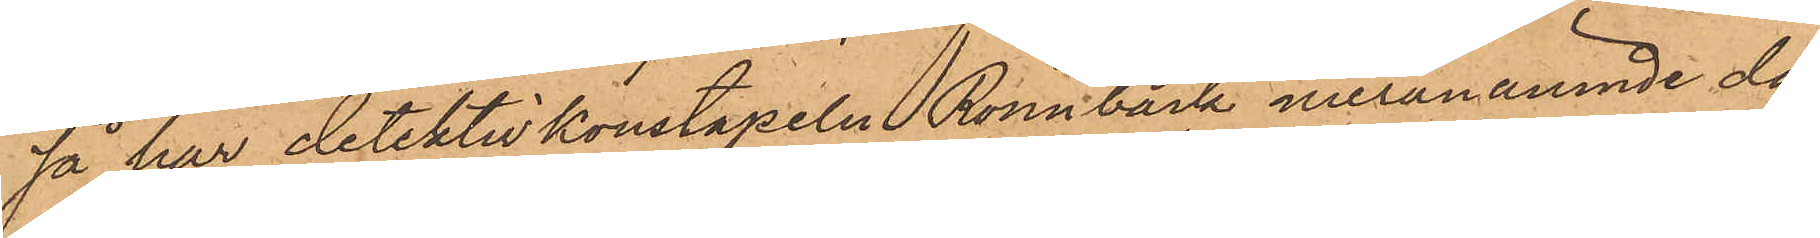så har detektivkonstapeln Rönnbäck meranämnde dag
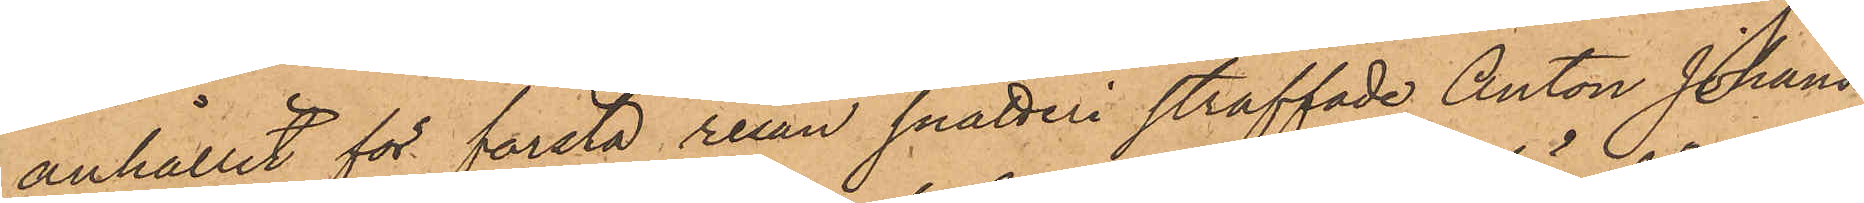anhållit för första resan snatteri straffade Anton Johans¬
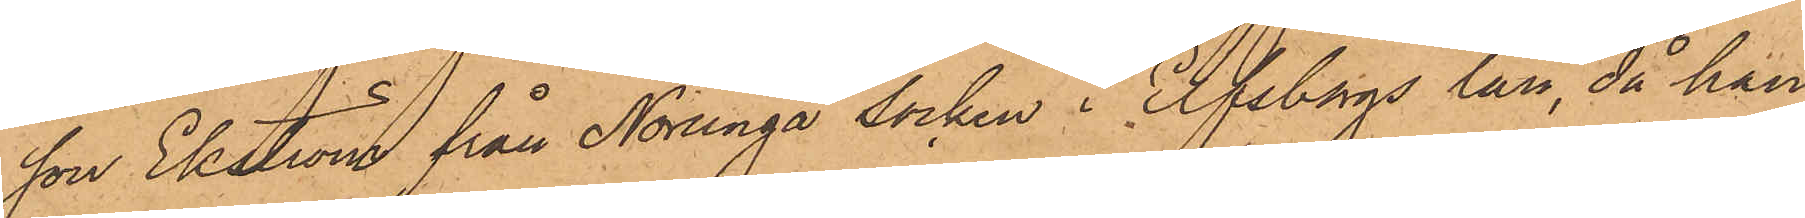son Ekström från Norunga socken i Elfsborgs län, då han
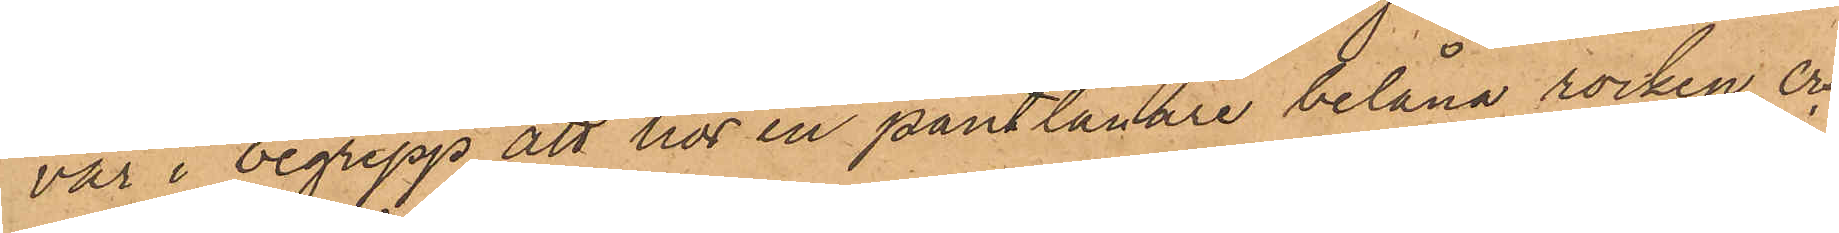var i begrepp att hos en pantlånare belåna rocken; och
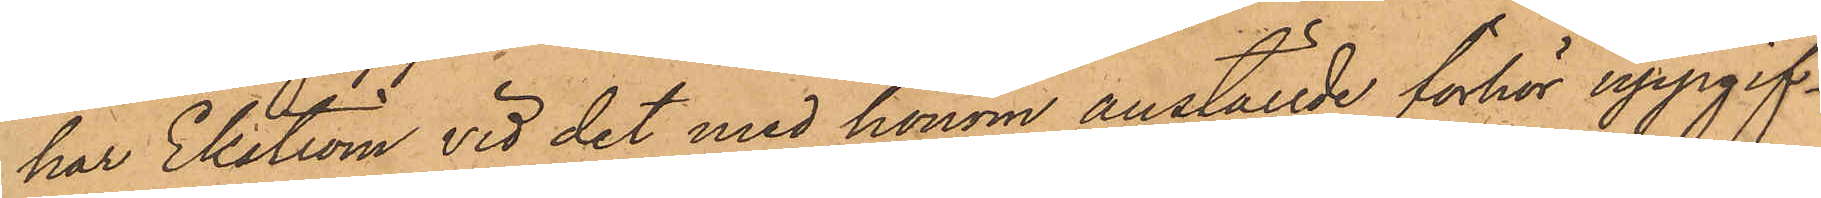har Ekström vid det med honom anställde förhör uppgif¬
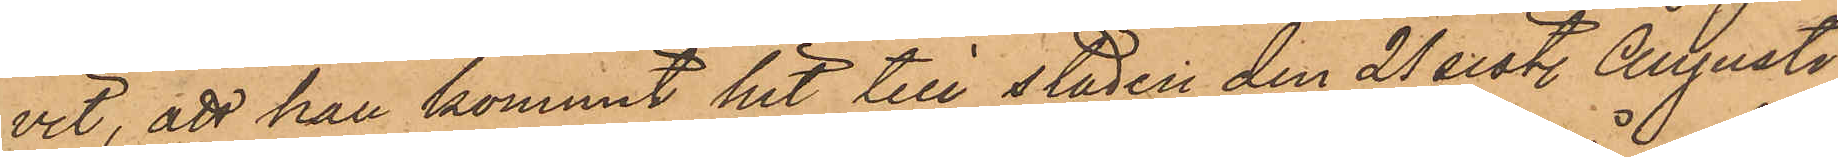vit, att han kommit hit till staden den 21 sist. Augusti
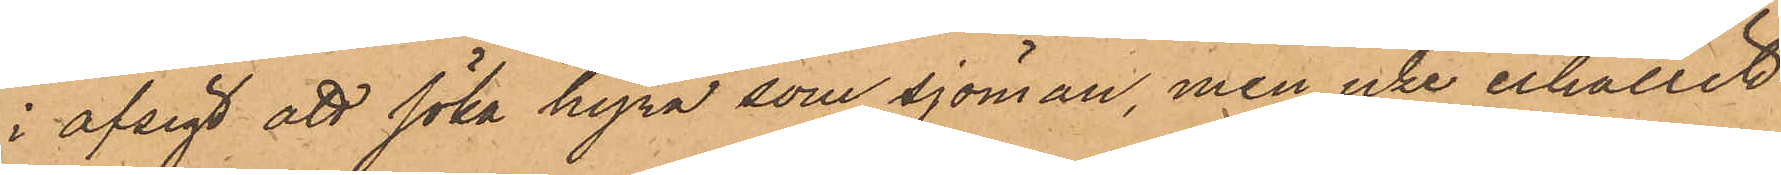i afsigt att söka hyra som sjöman, men icke erhållit
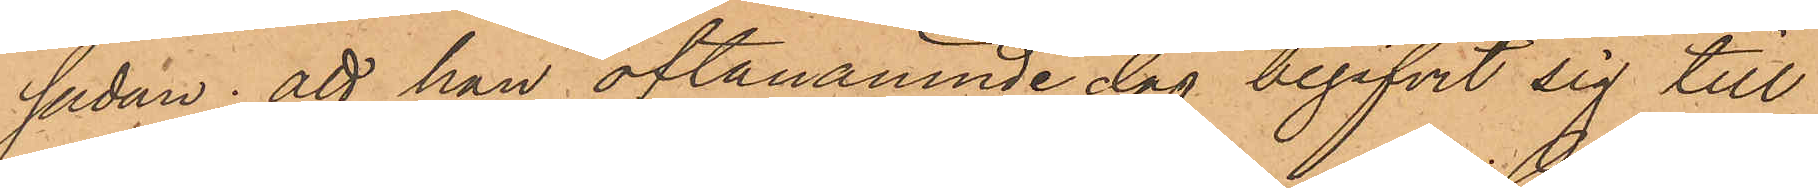sådan; att han oftanämnde dag begifvit sig till
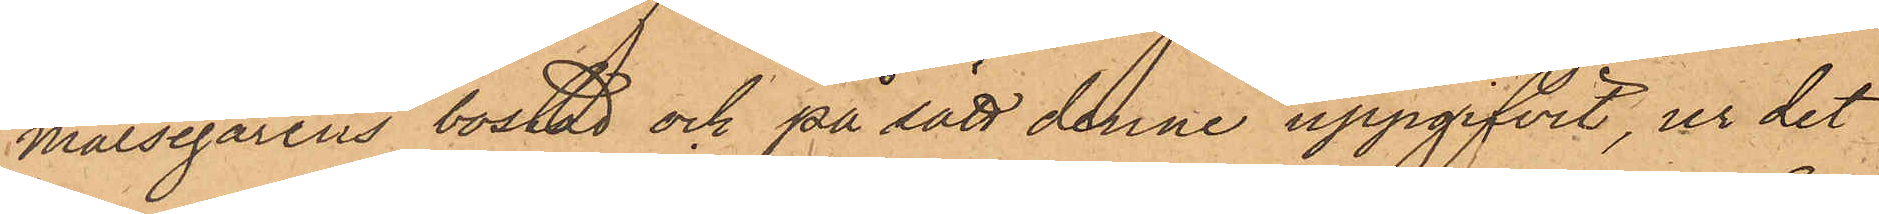målsegarens bostad och på sätt denne uppgifvit, ur det
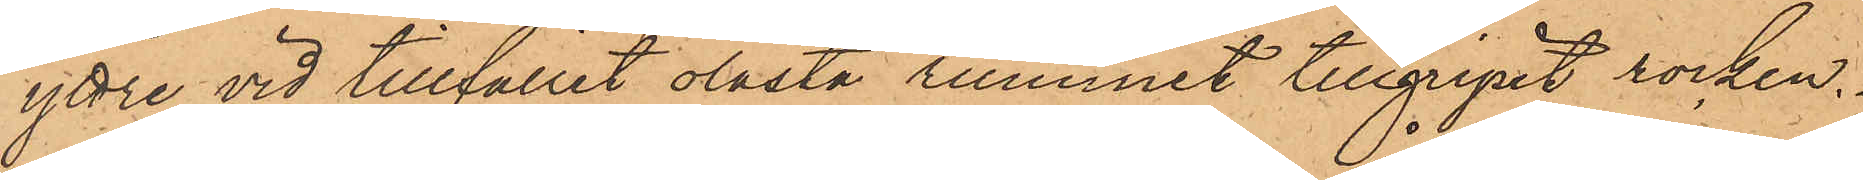yttre vid tillfället olåsta rummet tillgripit rocken.
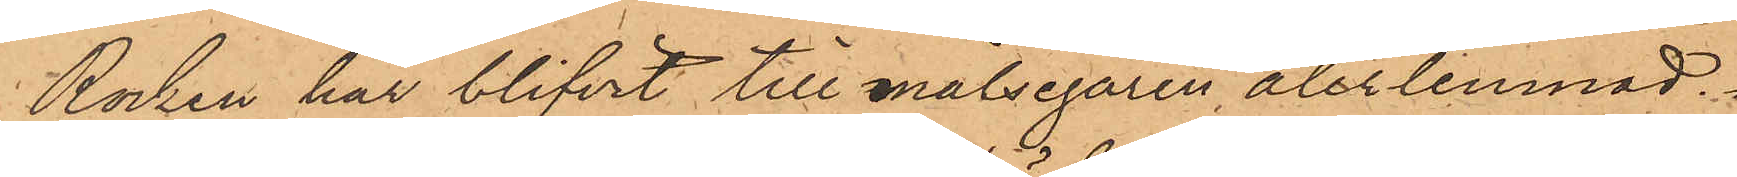Rocken har blifvit till målsegaren återlemnad.
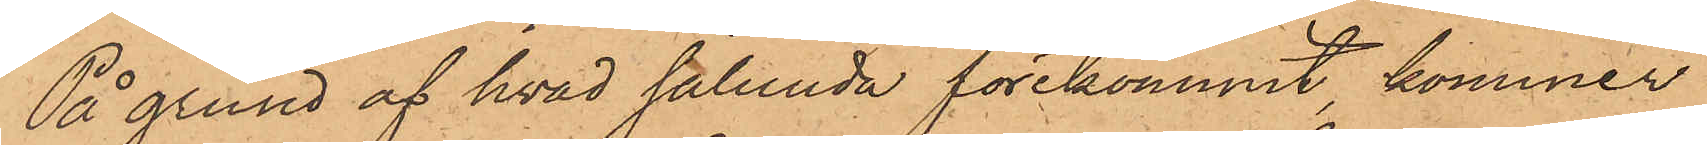På grund af hvad sålunda förekommit, kommer
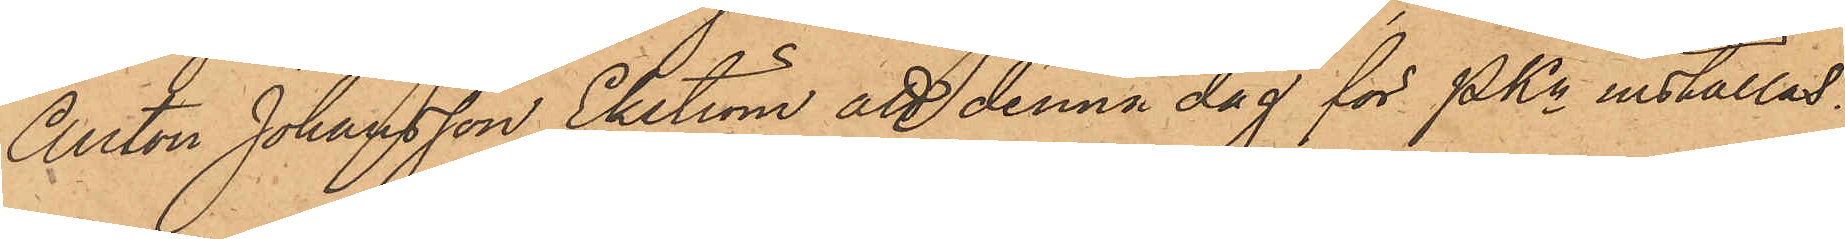Anton Johansson Ekström att denna dag för PKn inställas.
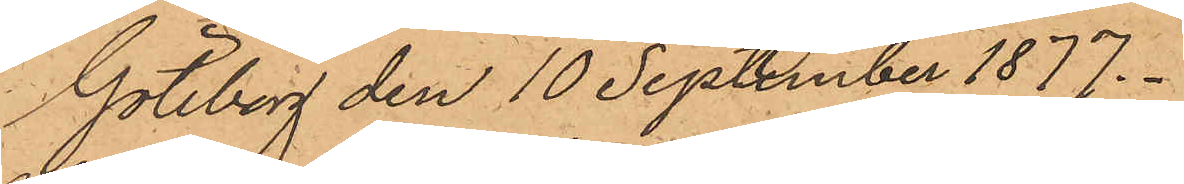Göteborg den 10 September 1877.
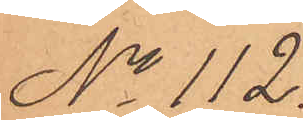No 112.
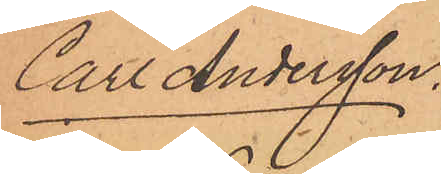Carl Andersson.
